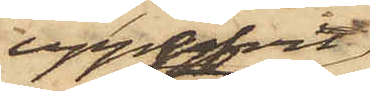uppgifvit
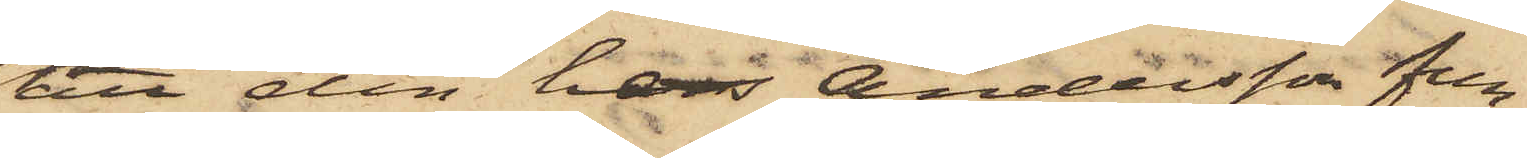att den hos Andersson fun¬
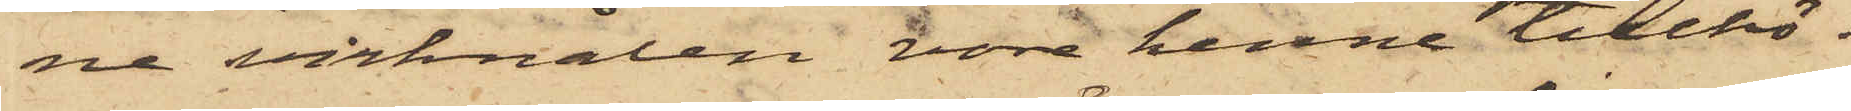ne virknålen vore henne tillhö¬
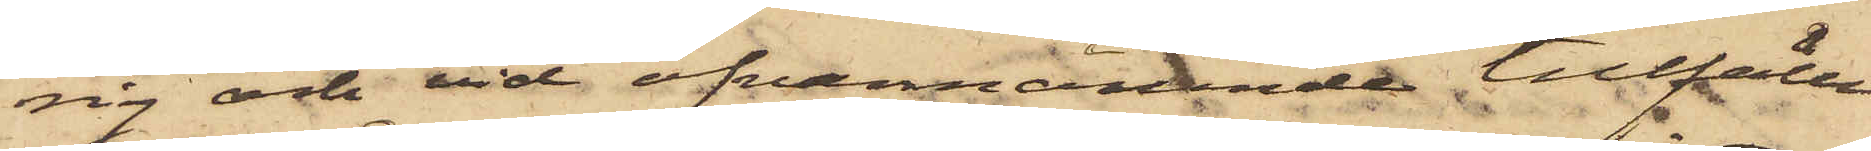ig och vid ofvannämnde tillfälle
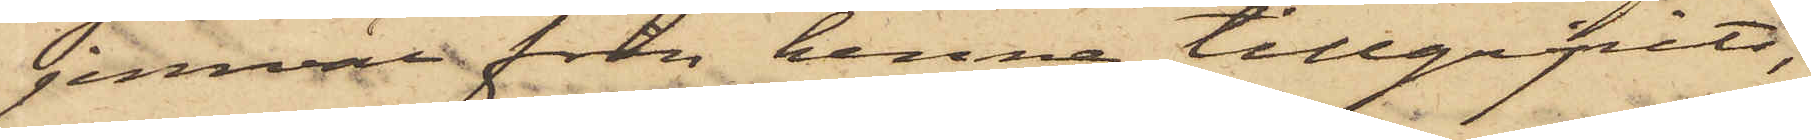jemväl från henne tillgripits,
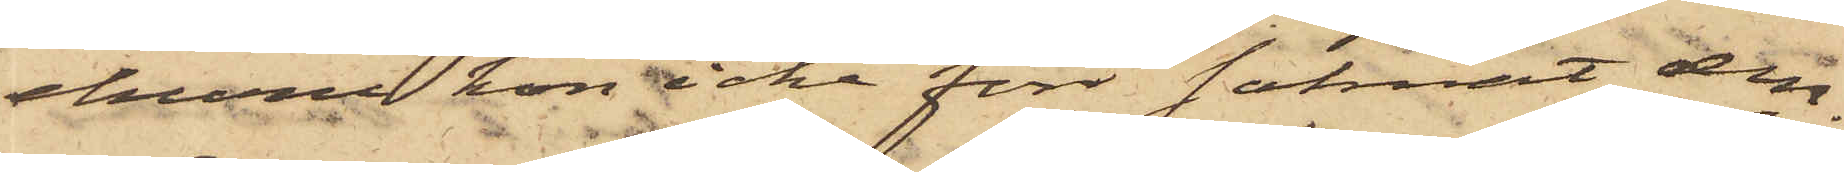ehuru hon icke förr saknat den.
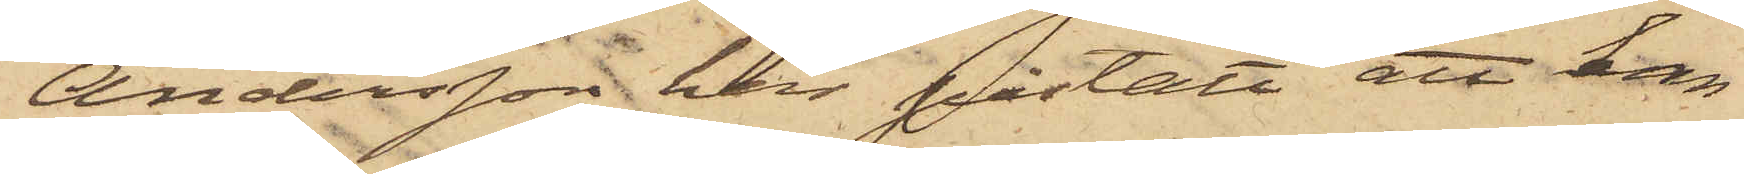Andersson har påstått att han
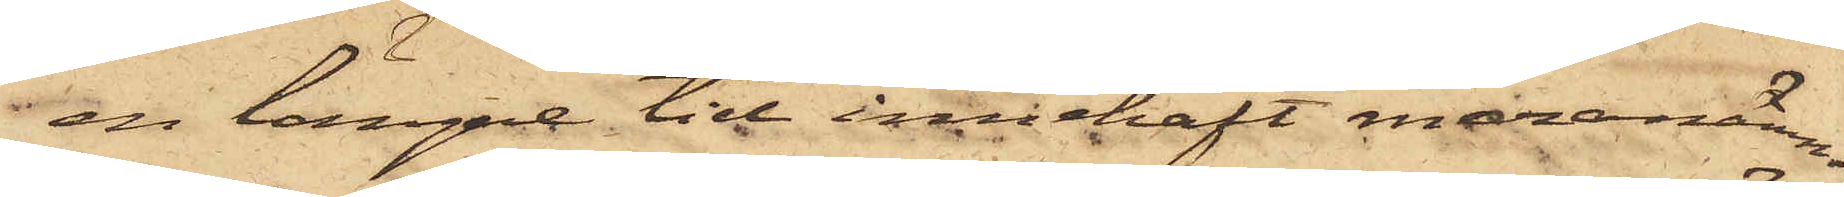en längre tid innehaft meranämn¬
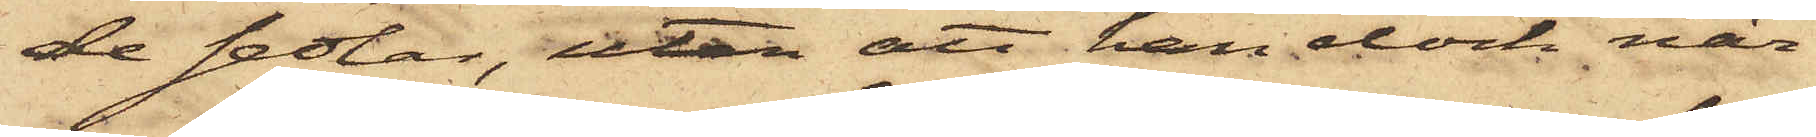de sedlar, utan att han dock när¬
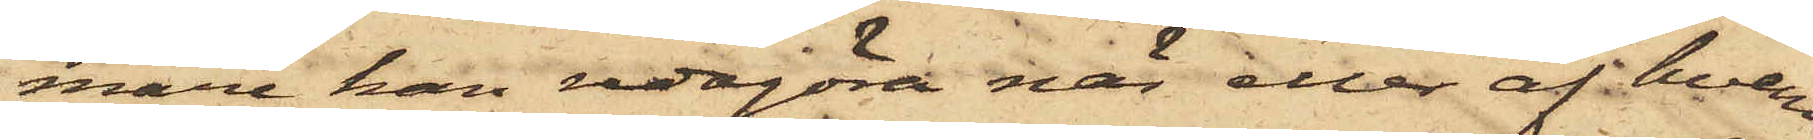mare kan redogöra när eller af hvem
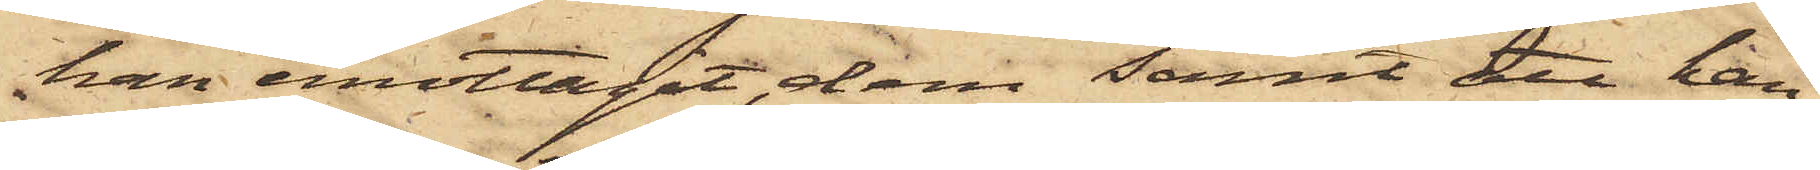han emottagit, dem samt att han
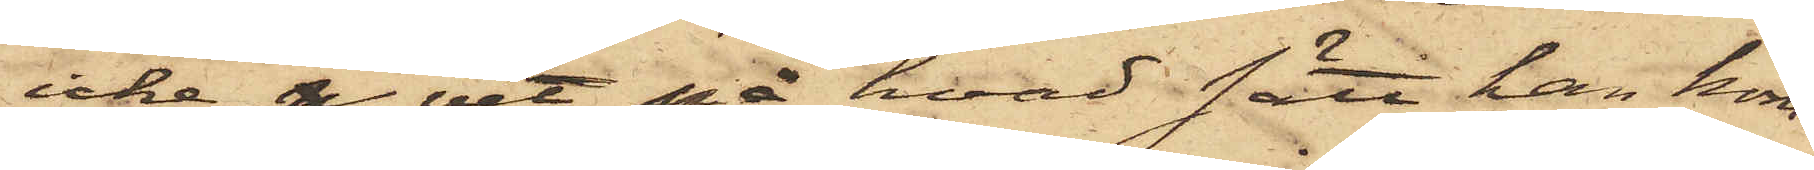icke p vet på hvad sätt han kom¬
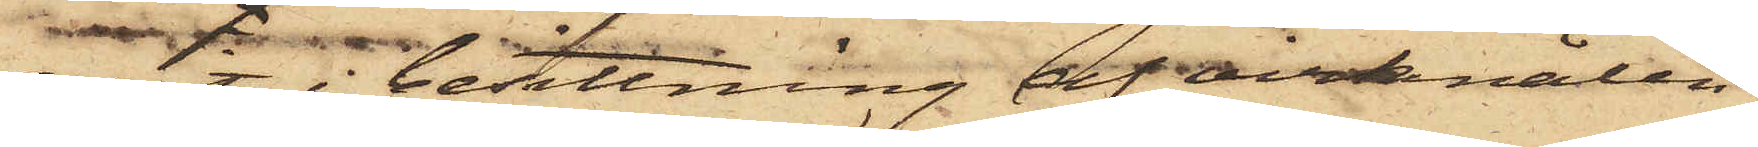mit i besittning af virknålen.
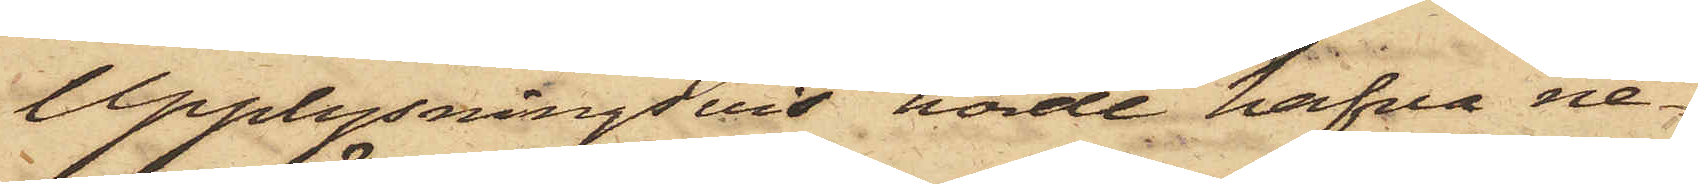Upplysningsvis hörde hafva ne¬
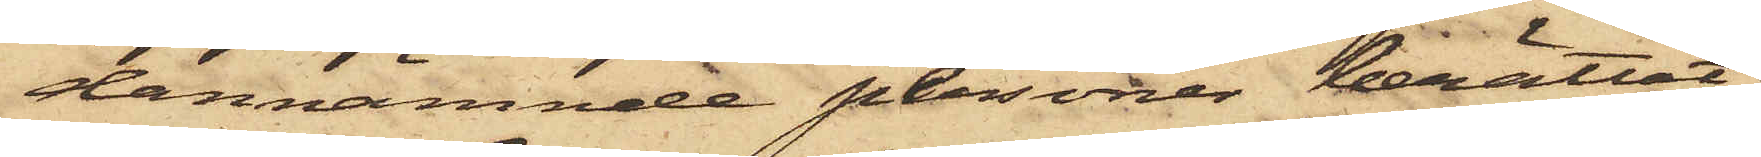dannämnde plersoner berättat:
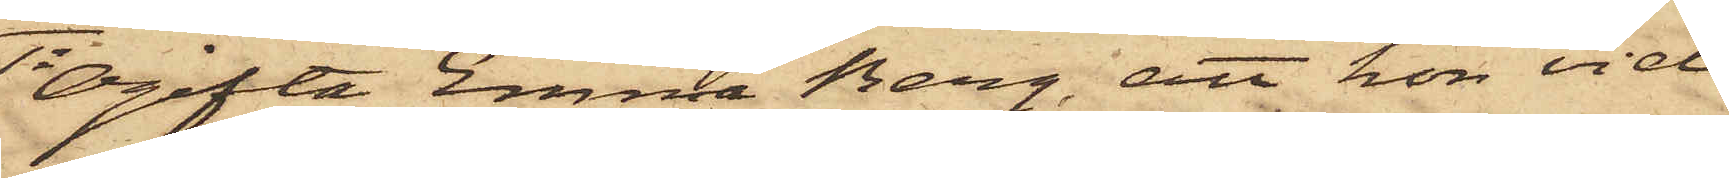1o Ogifta Emma Berg, att hon vid
